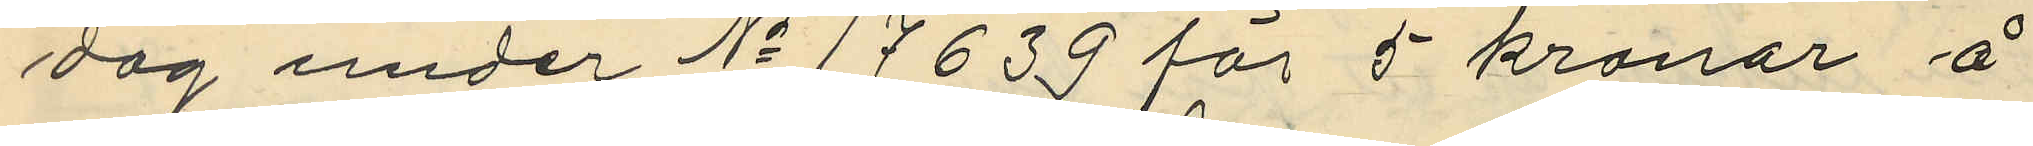dag under No 17639 för 5 kronor å
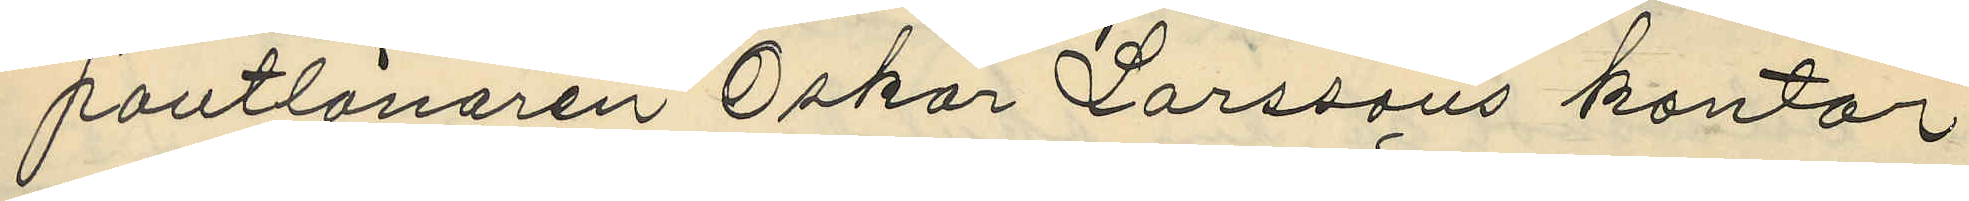pantlånaren Oskar Larssons kontor
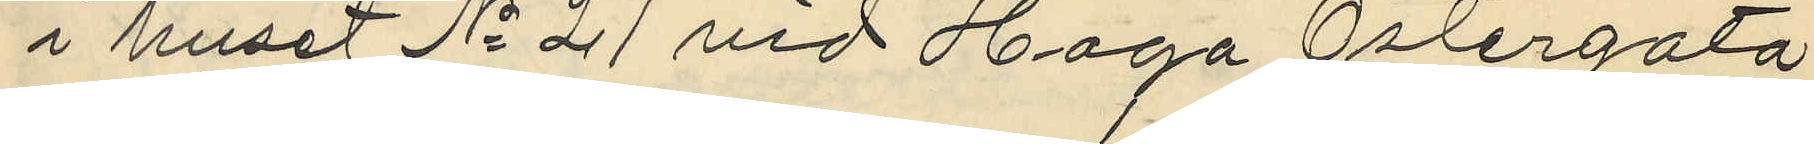i huset No 21 vid Haga Östergata
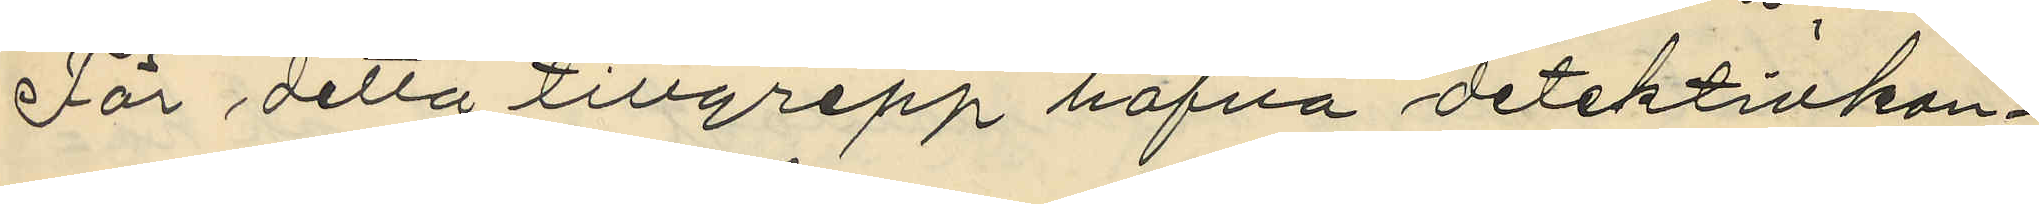För detta tillgrepp hafva detektivkon¬
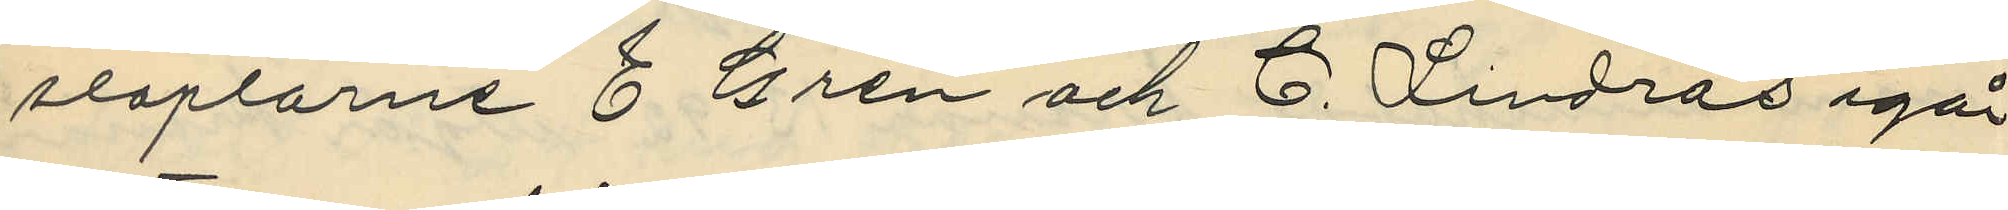staplarne E. Gren och C. Lindros igår
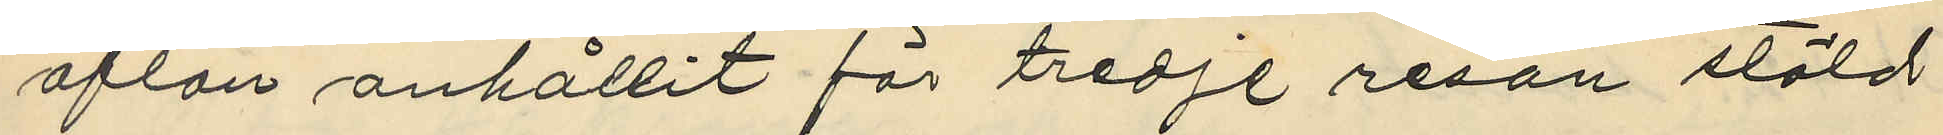afton anhållit för tredje resan stöld
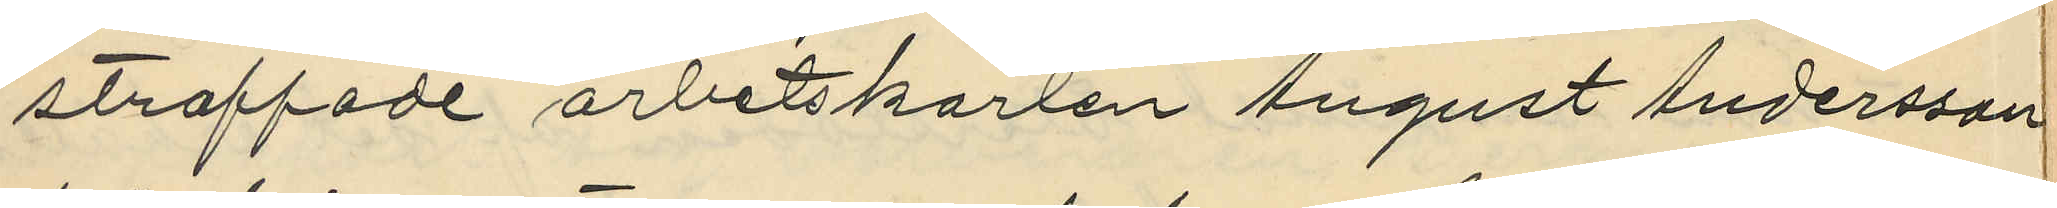straffade arbetskarlen August Andersson
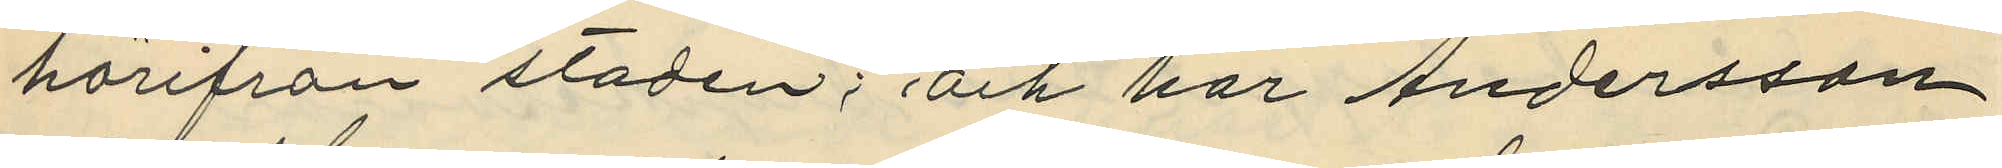härifrån staden; och har Andersson
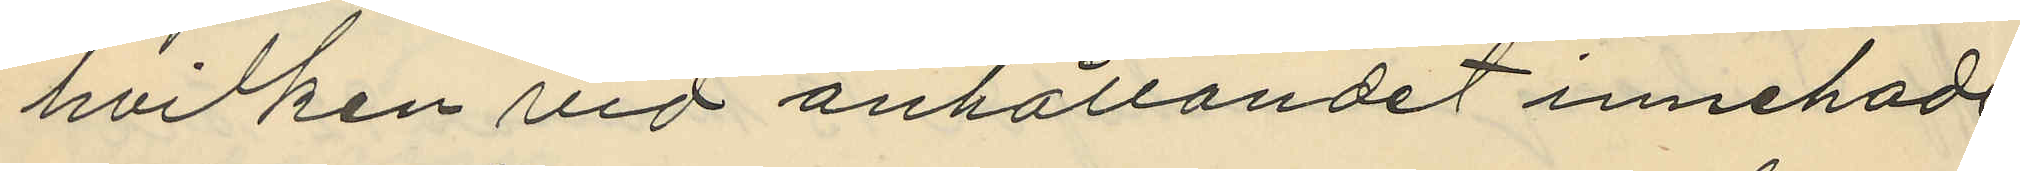hvilken vid anhållandet innehade
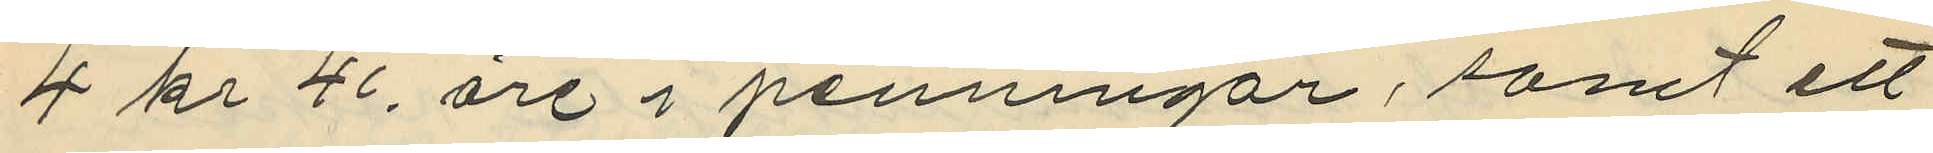4 kr 46 öre i penningar, samt ett
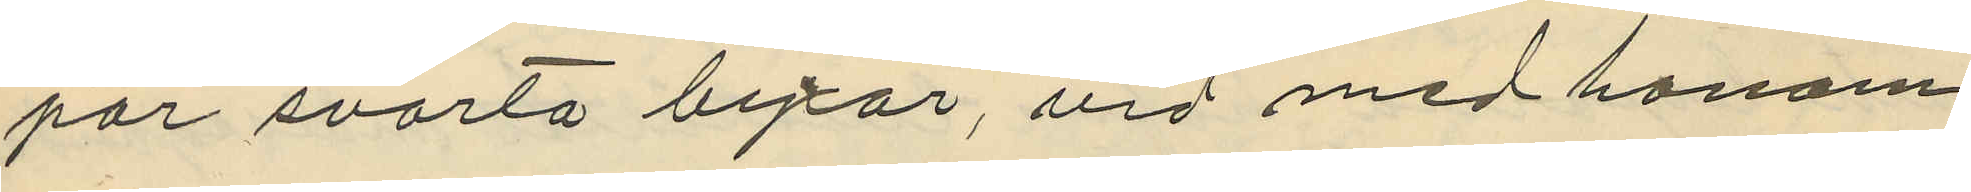par svarta byxor, vid med honom
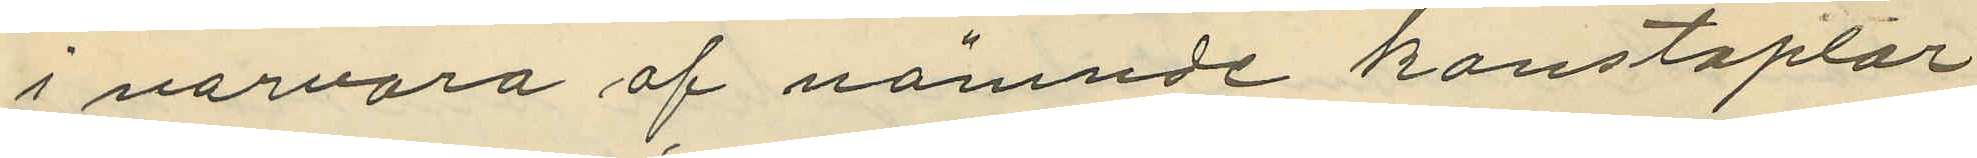i närvaro af nämnde konstaplar
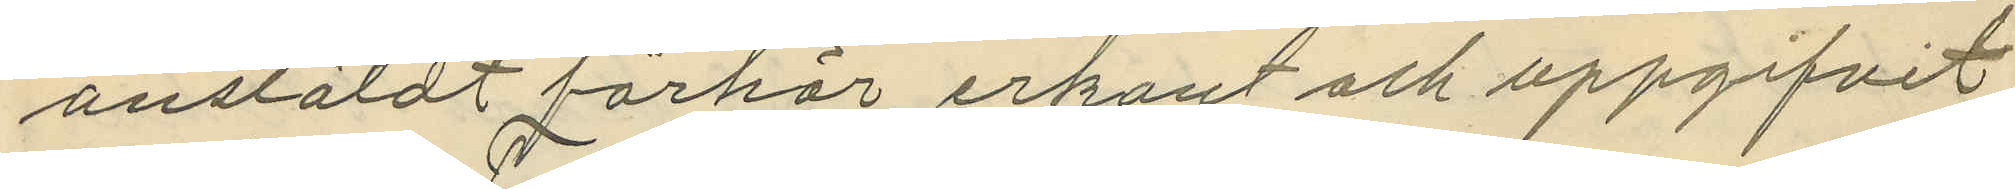anstäldt förhör erkänt och uppgifvit
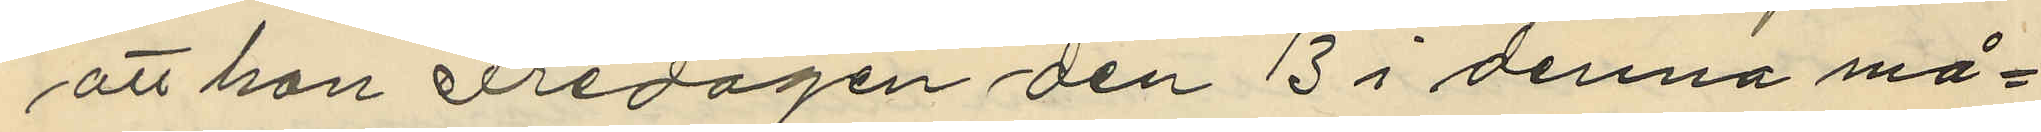att han Fredagen den 13 i denna må¬
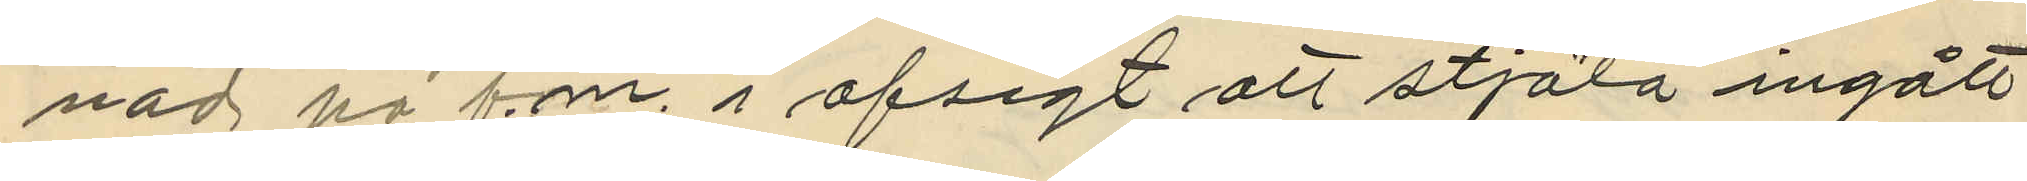nad på f.m. i afsigt att stjäla ingått
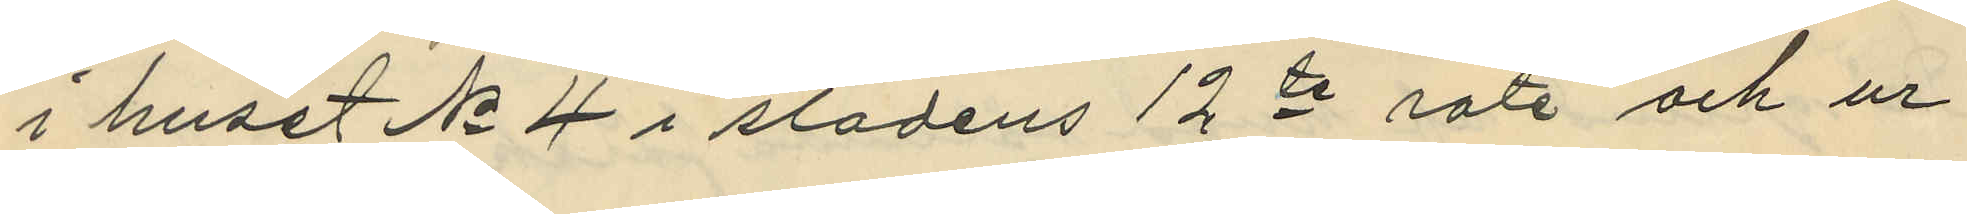i huset No 4 i stadens 12te rote och ur
